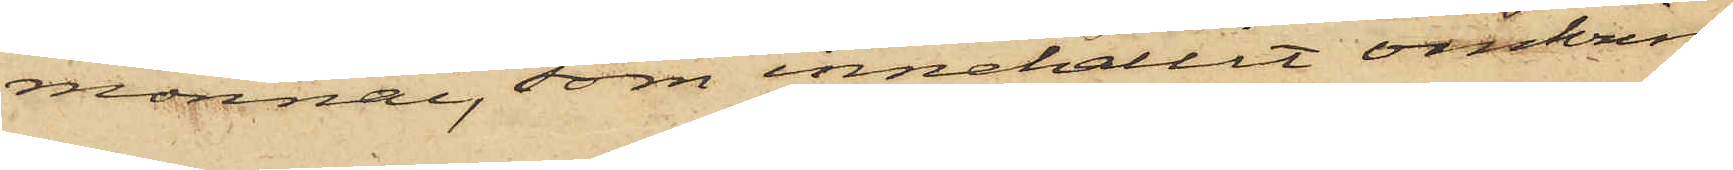monnai, som innehållit omkring
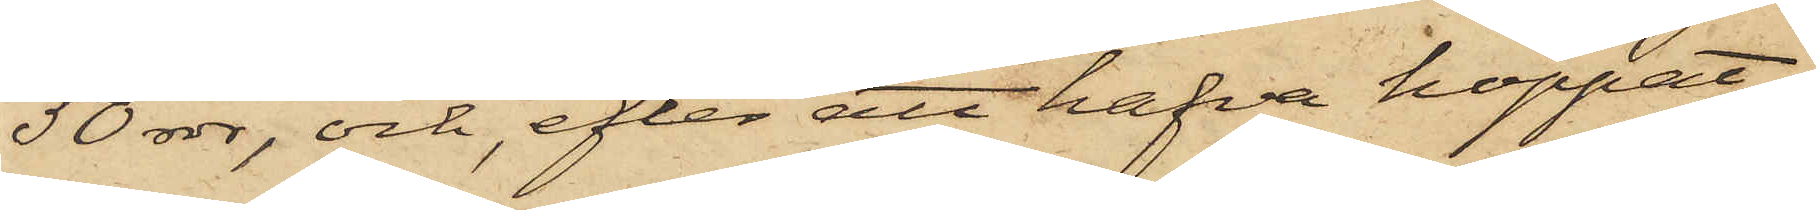50 rdr, och, efter att hafva hoppat
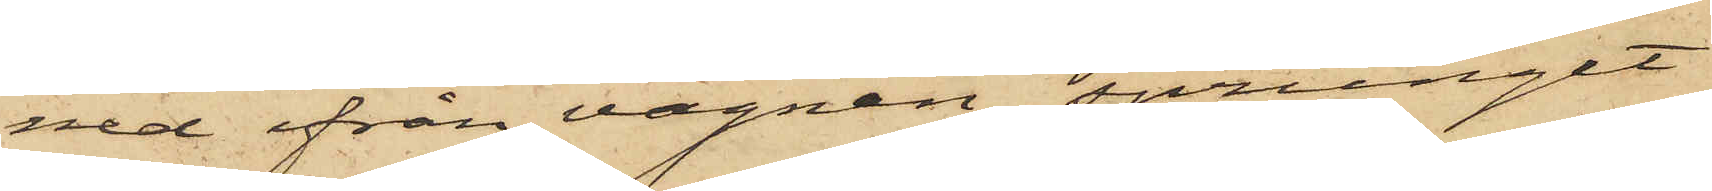ned ifrån vagnen, sprungit
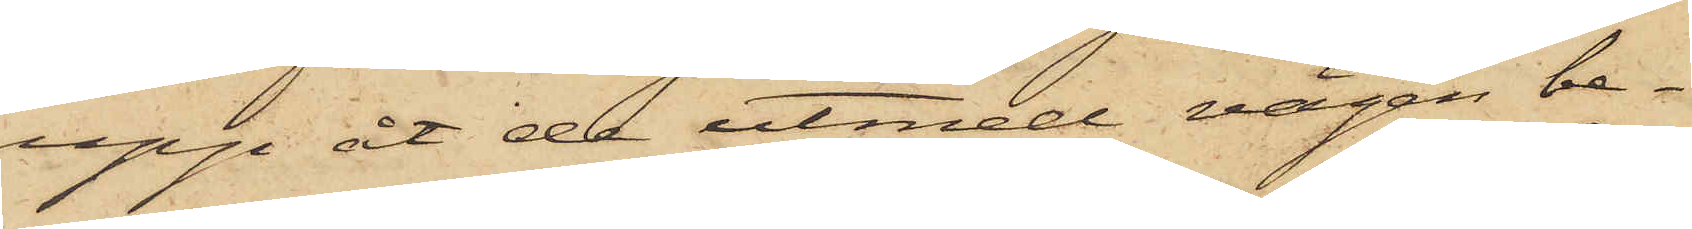upp åt de utmed vägen be¬
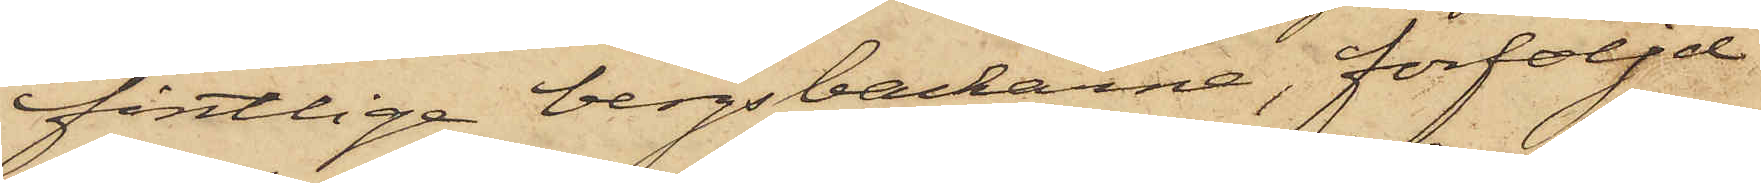fintlige bergsbackarna, förföljd
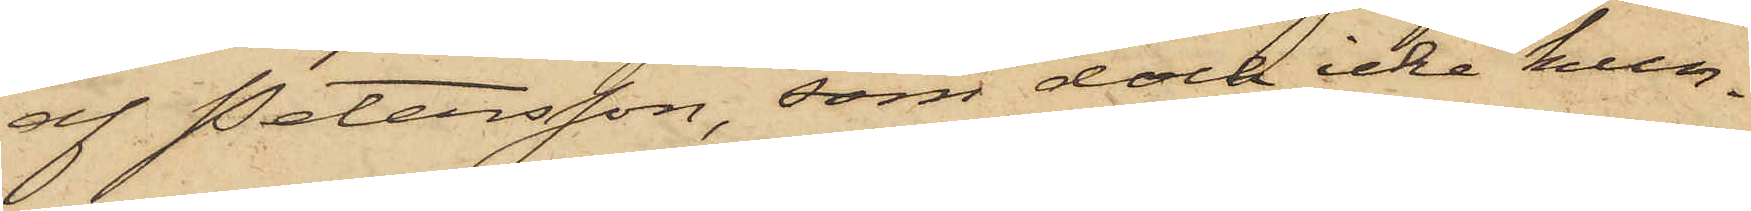af Petersson, som dock icke kun¬
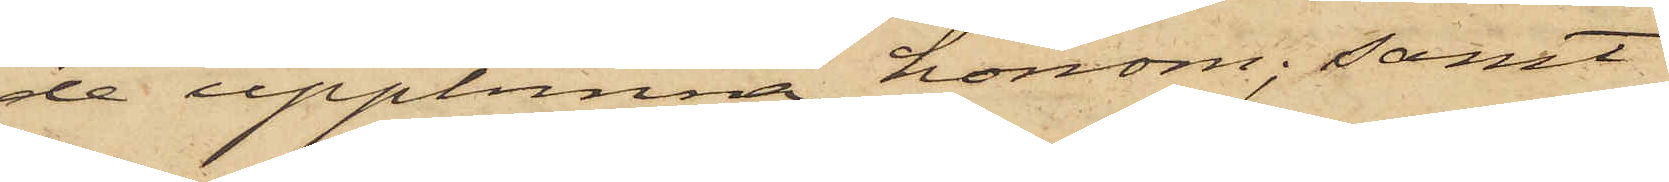de upphinna honom; samt
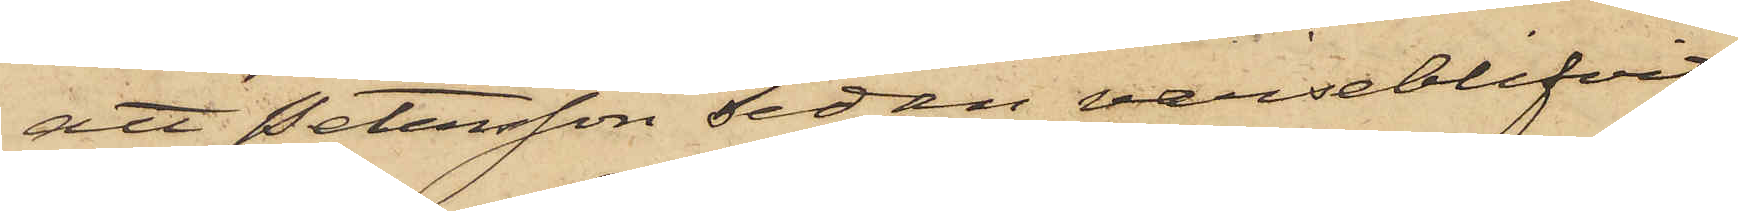att Petersson sedan varseblifvit
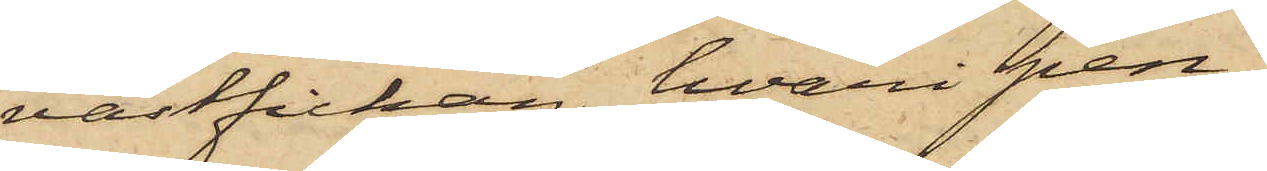västfickan, hvari pen¬
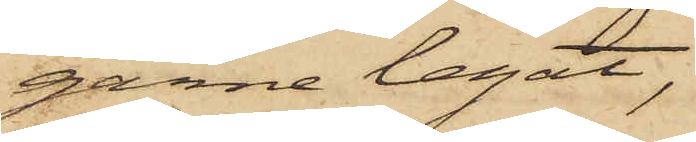garne legat,
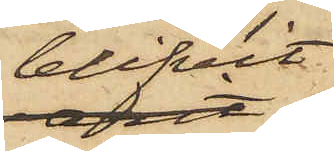blifvit
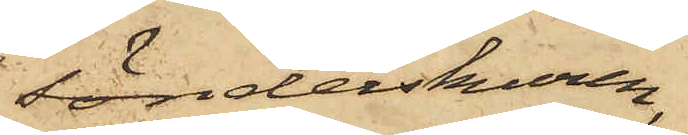sönderskuren,
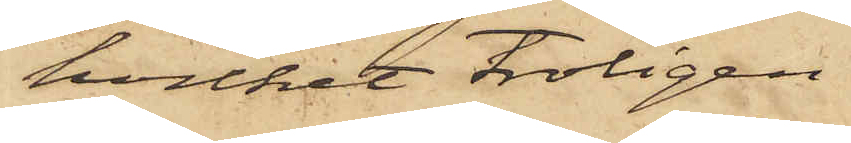hvilket troligen
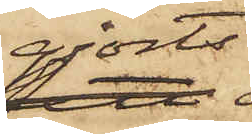gjorts
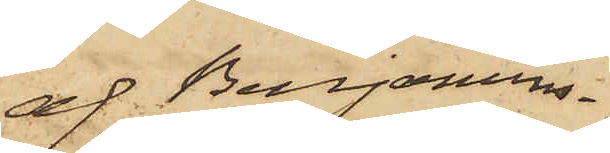af Benjamins¬
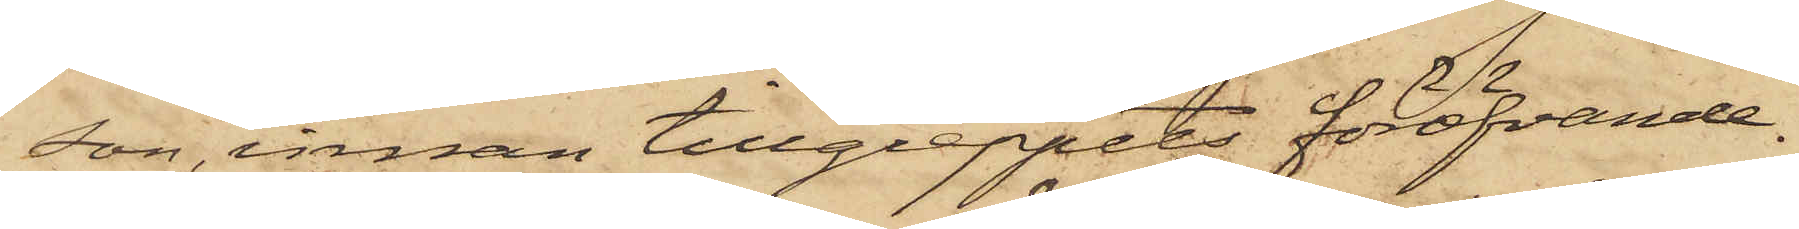son, innan tillgreppets föröfvande.
